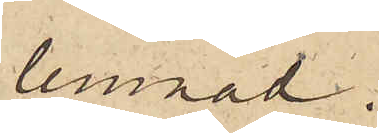lemnad.
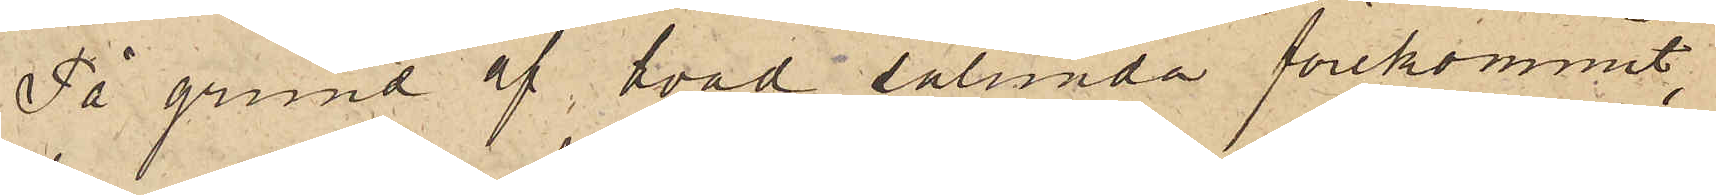På grund af hvad sålunda förekommit,
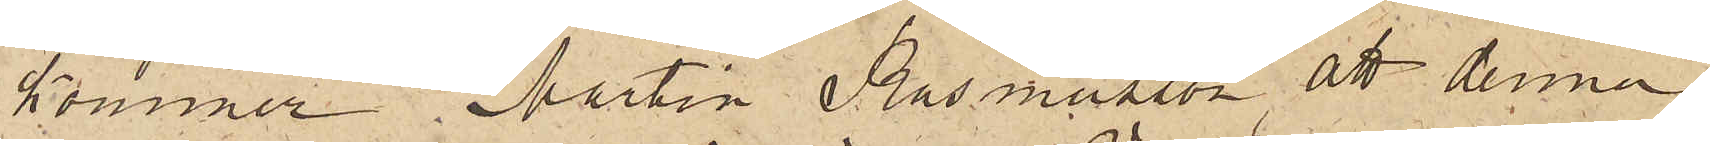kommer Martin Rasmusson att denna
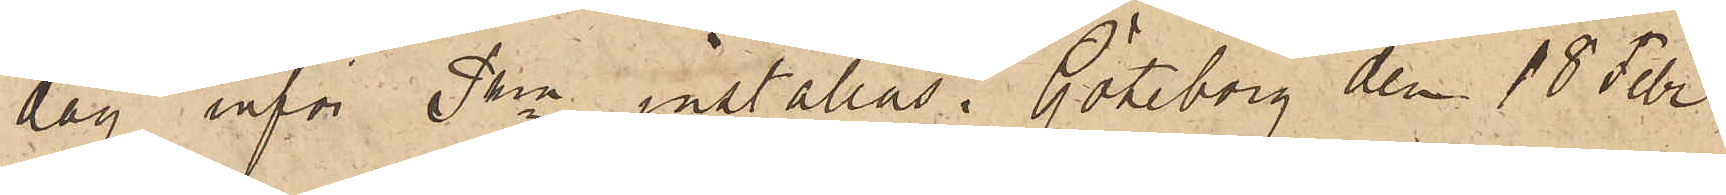dag inför Pkn inställas. Göteborg den 18 Febr
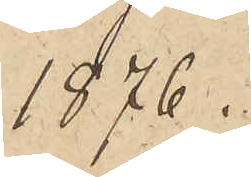1876.
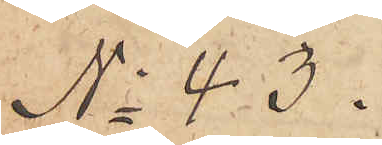No 43.
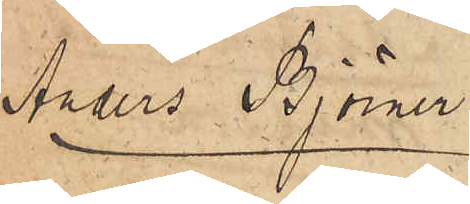Anders Björner
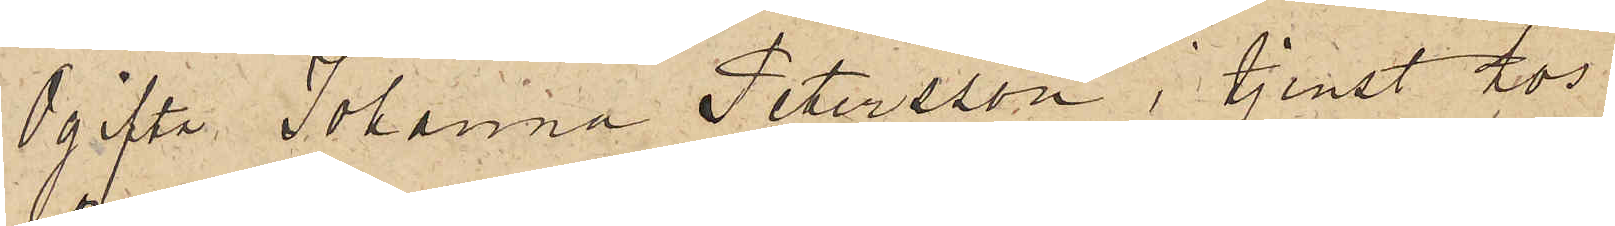Ogifta Johanna Petersson i tjenst hos
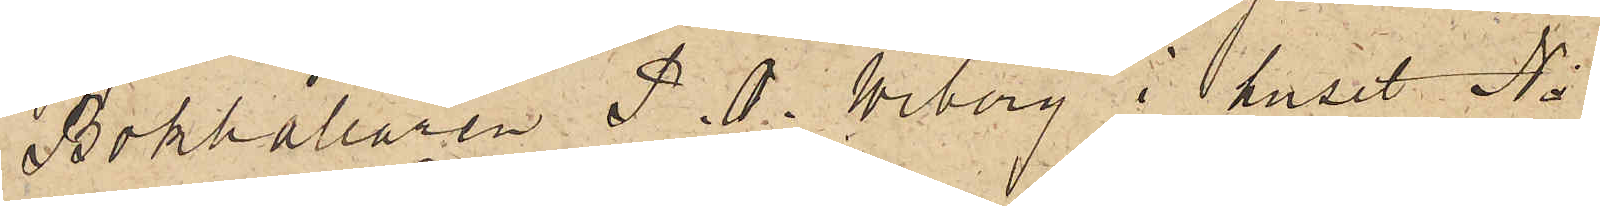Bokhållaren P. O. Wiborg i huset No
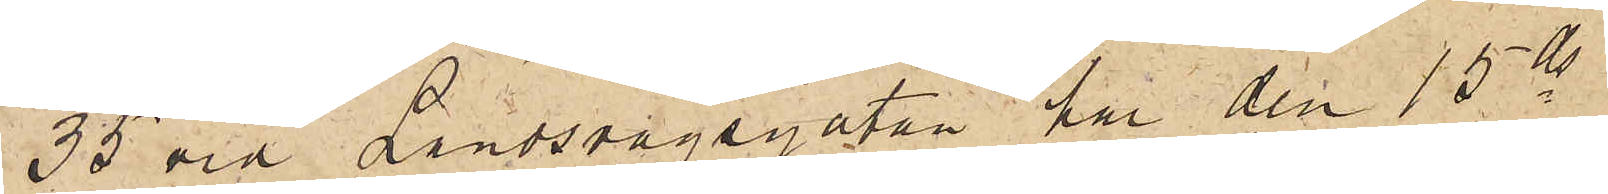35 vid Landsvägsgatan har den 15 ds
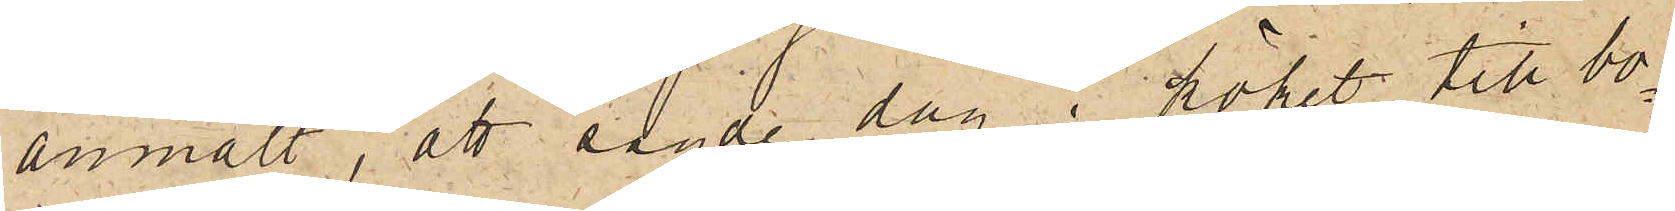anmält, att sagde dag i köket till bo¬
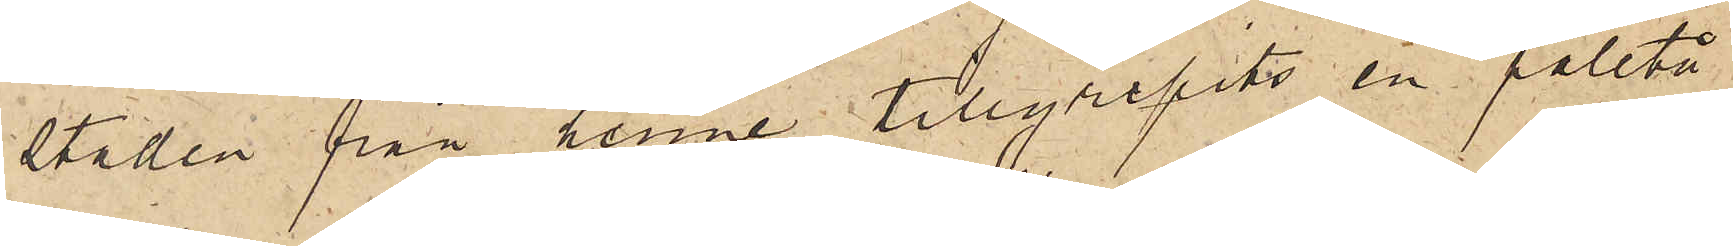staden från henne tillgripits en paletå
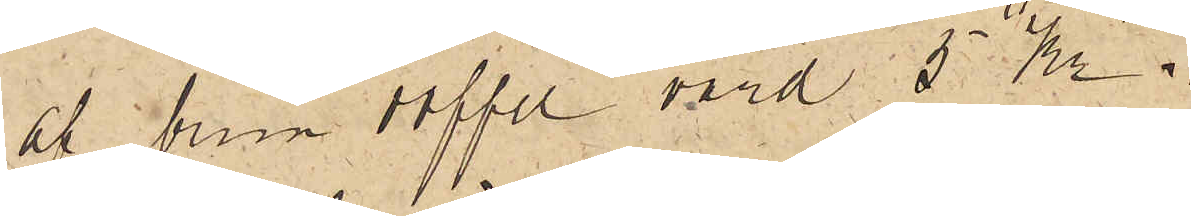af brun doffel, värd 5 Kr.
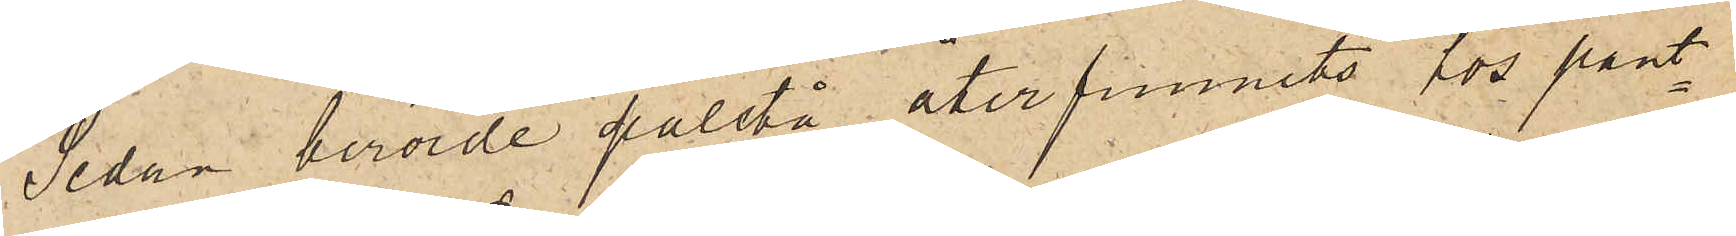Sedan berörde paletå återfunnits hos pant¬
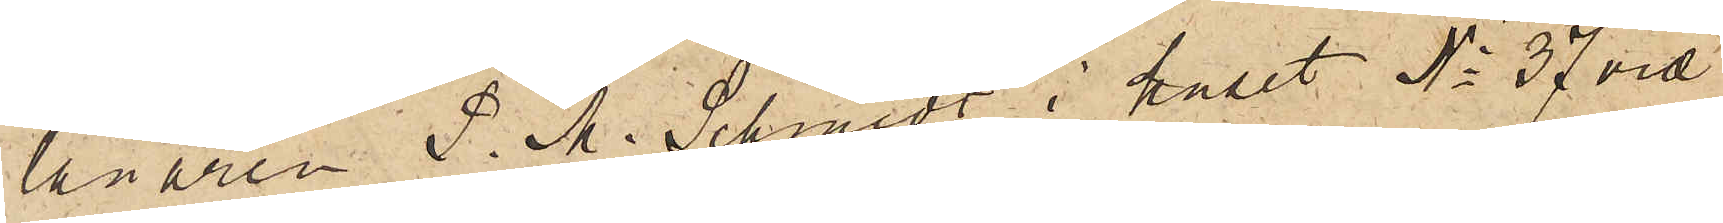lånaren P. M. Schmidt i huset No 37 vid
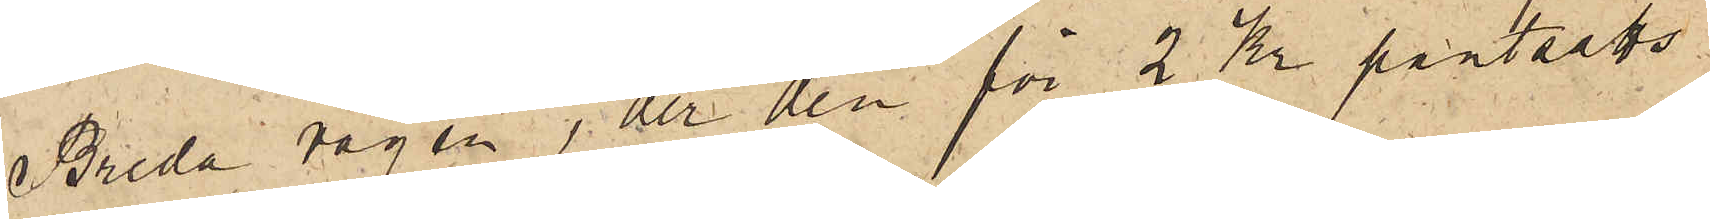Breda vägen, der den för 2 Kr pantsatts
